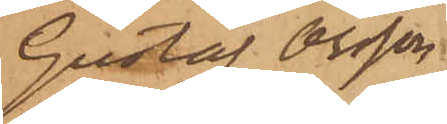Gustaf Olsson
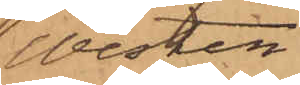Wester.
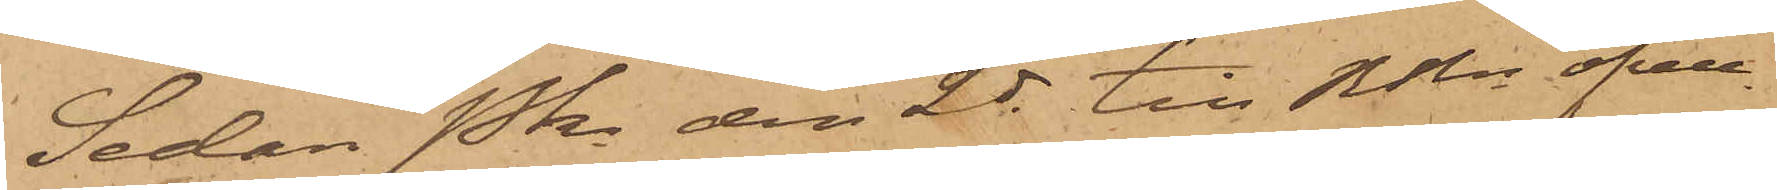Sedan Pkn den 2 ds till RRn öfver¬
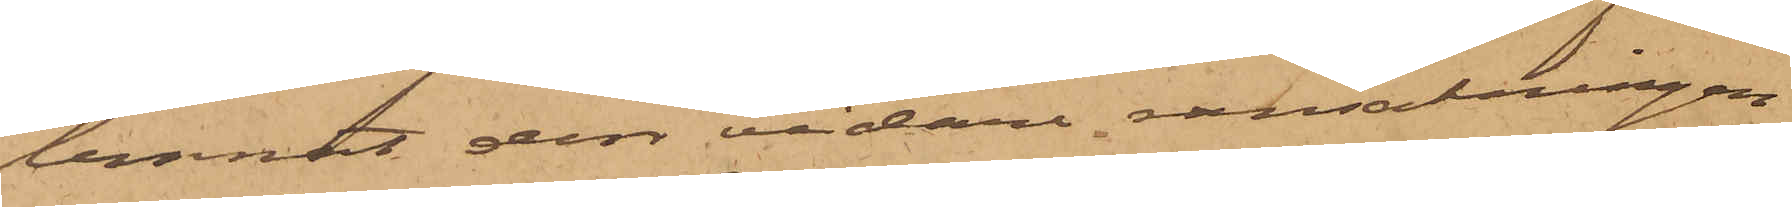lemnat den vidare ransakningen
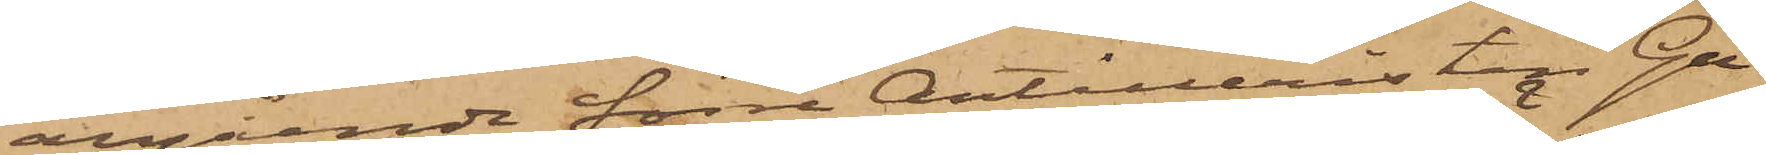angående förre Artilleristen Gu¬
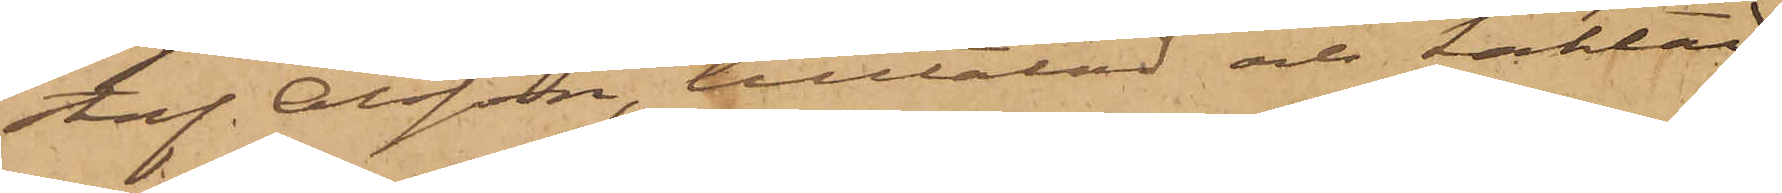staf Olsson, tilltalad och kallad
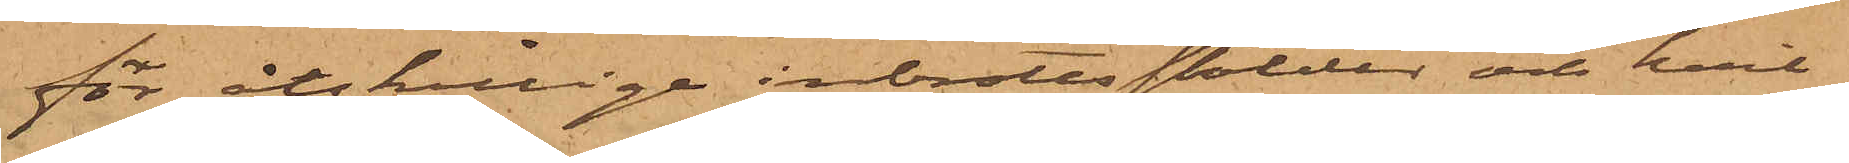för åtskillige inbrottsstölder och hvil¬
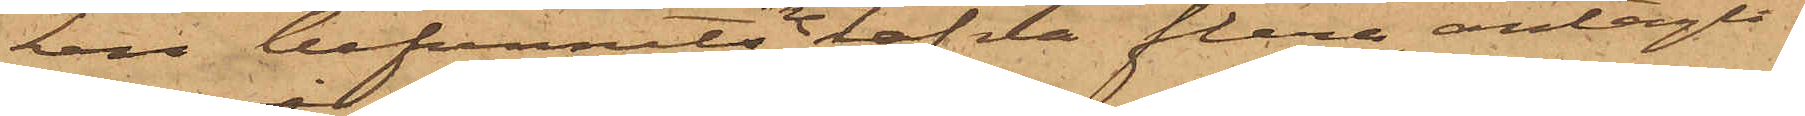ken befunnits innehafva flera, antagli¬
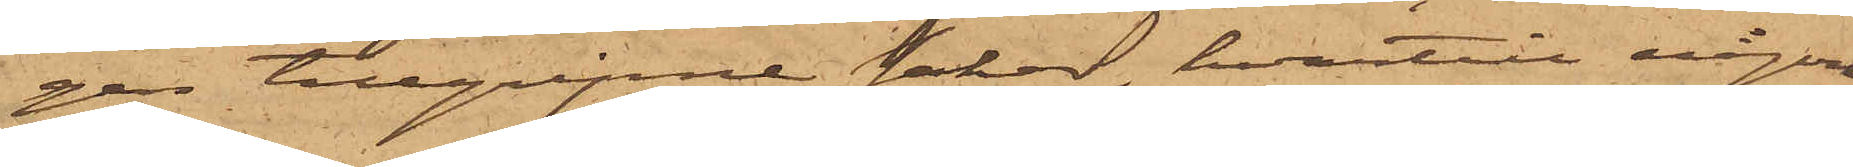gen tillgripne saker, hvartill någon
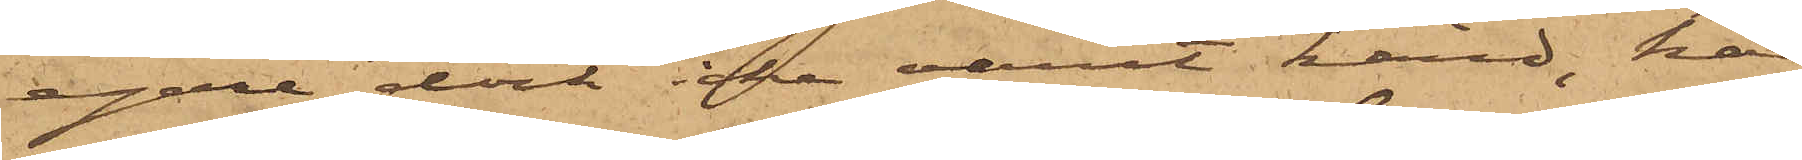egare dock icke varit känd, har
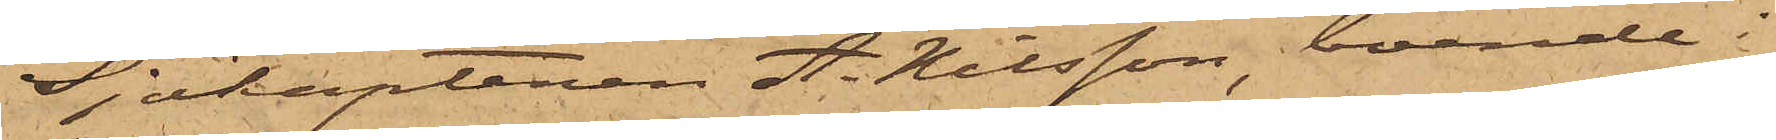Sjökaptenen A. Nilsson, boende i
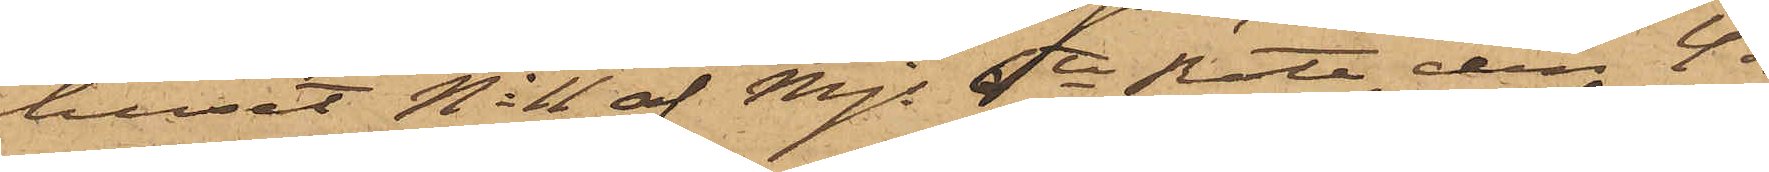huset No 11 af Mjs 6te Rote, den 4 ds
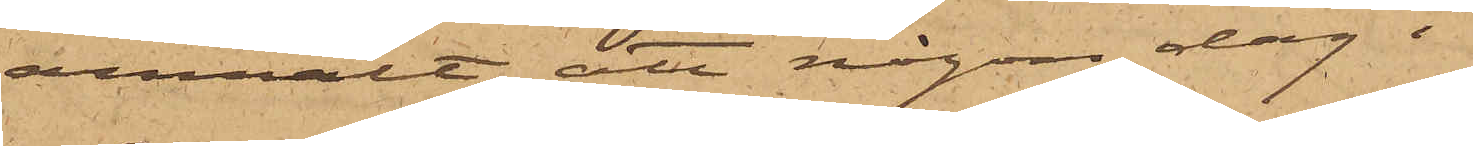anmält, att någon dag i
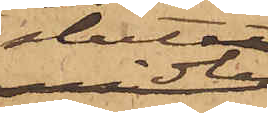slutet
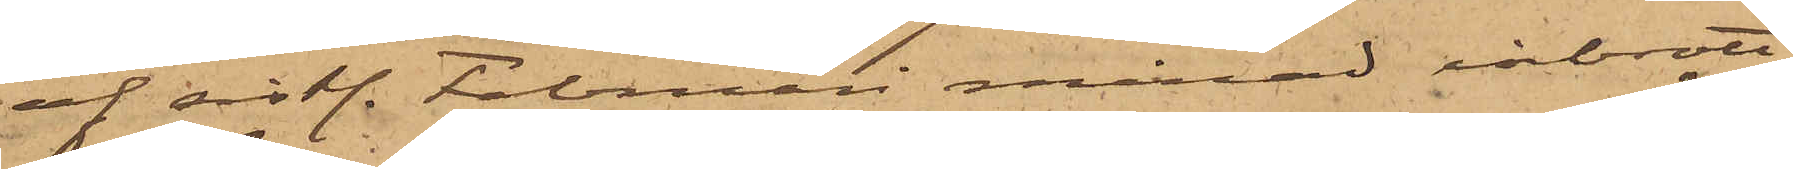af sistl. Februari månad inbrott
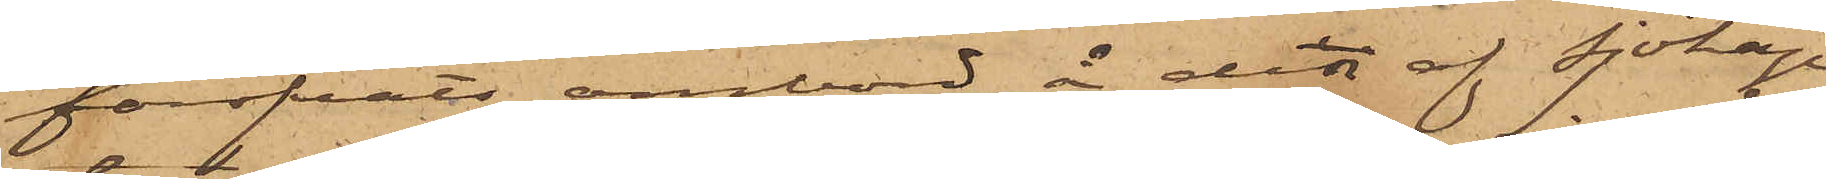föröfvats ombord å det af Sjökap¬
